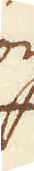och
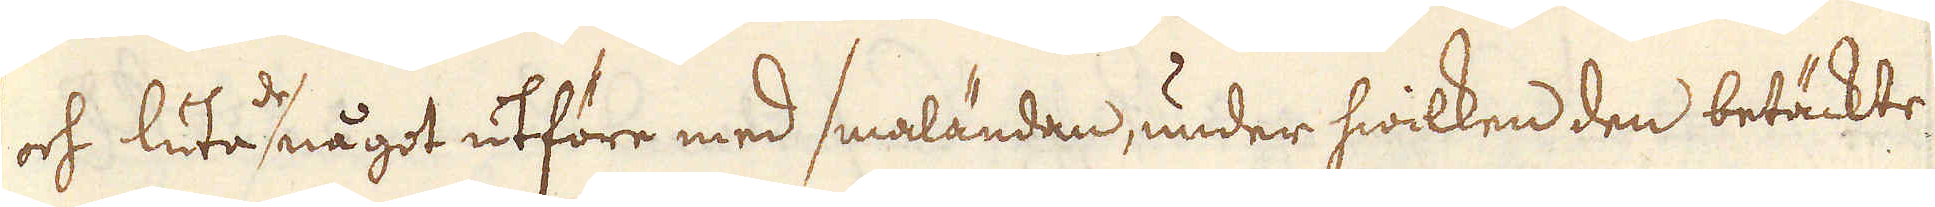och luta de något utföre med smaländan, under hwilken den betäckte
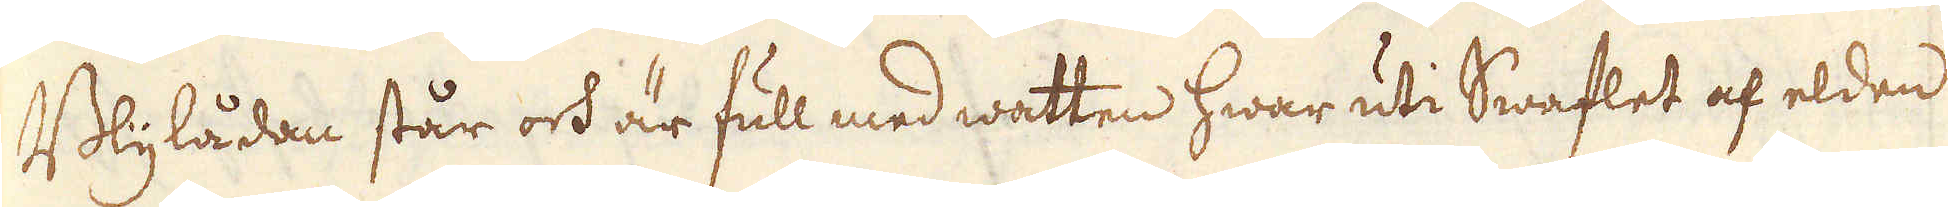Blylådan står och är full med watten hwar uti Swaflet af elden
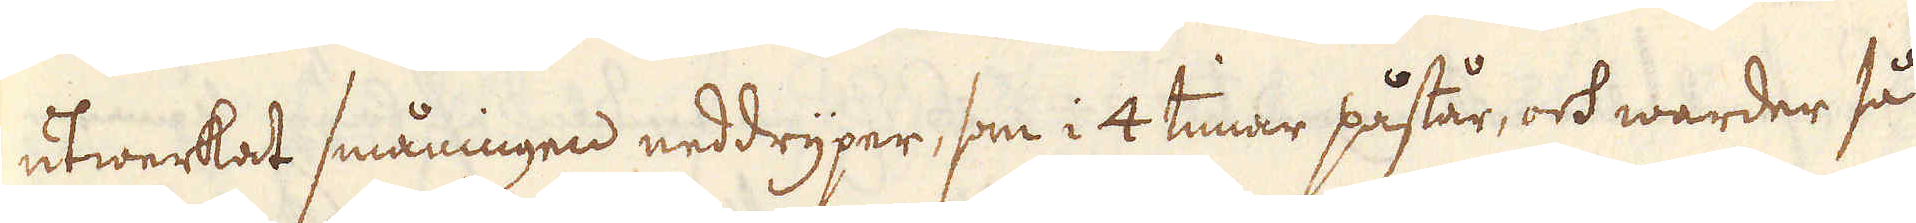utwerkat småningen neddryper, som i 4 timar påstår, ock warder så
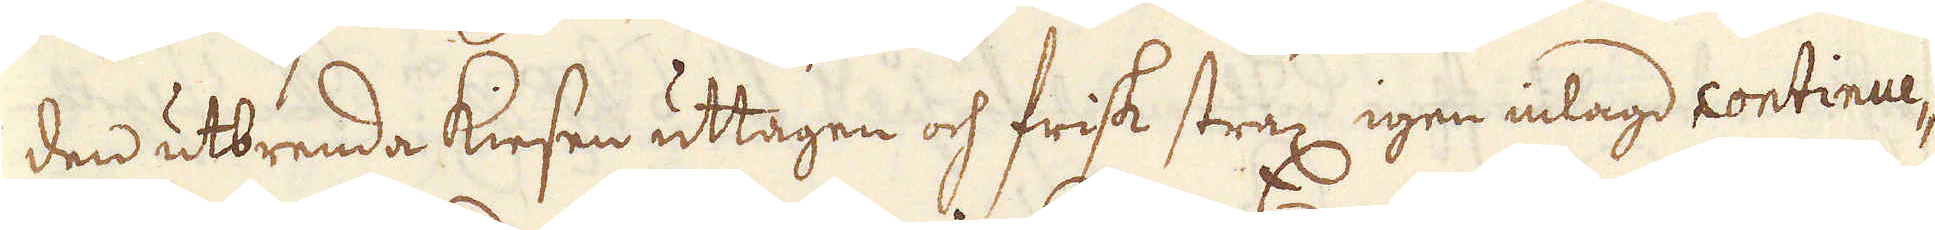den utbrenda kiesen uttagen och frisk strax igen inlagd continue-
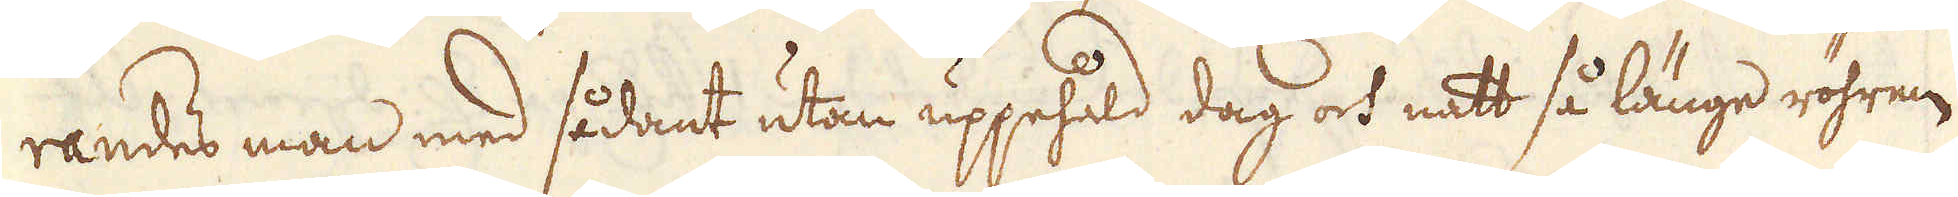randes man med sådant utan uppehåld dag och natt så länge röhren
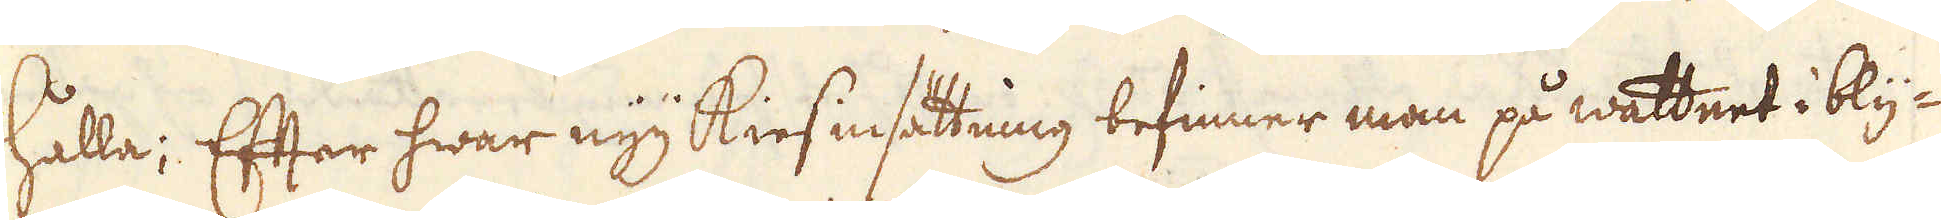hålla; Efter hwar nyy kiesinsättning befinner man på wattnet i bly-
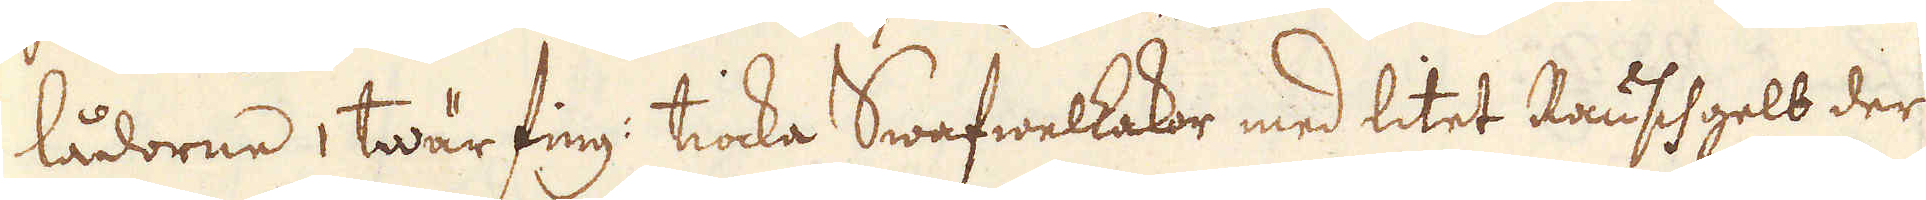lådorne i twär fing: tiocka Swafwelkakor med litet Rauschgelb der
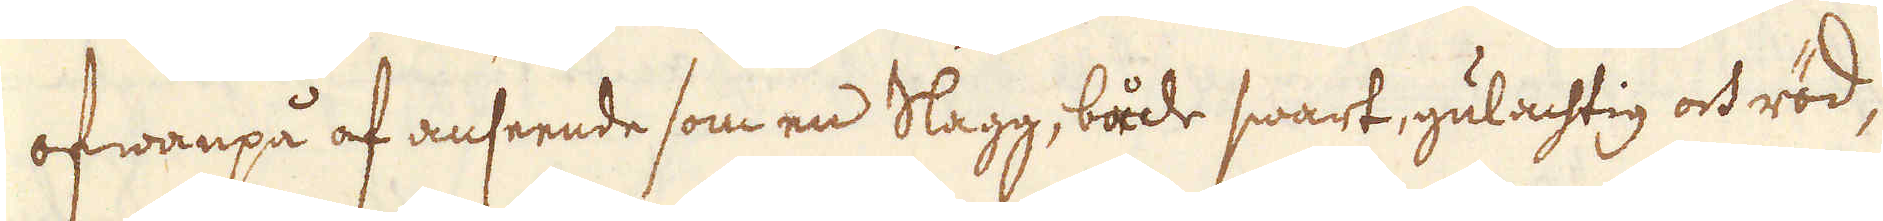ofwanpå af anseende som en Slagg, både swart, gulachtig och röd,
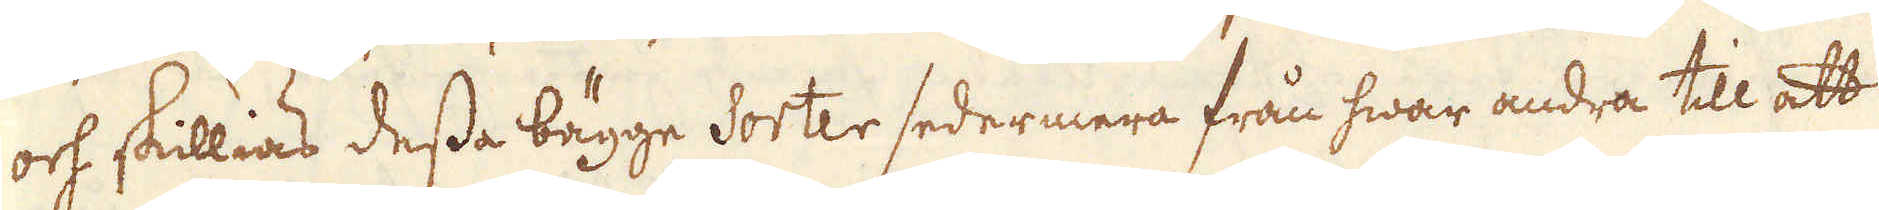och skillias dessa bägge Sorter sedermera från hwar andra till att
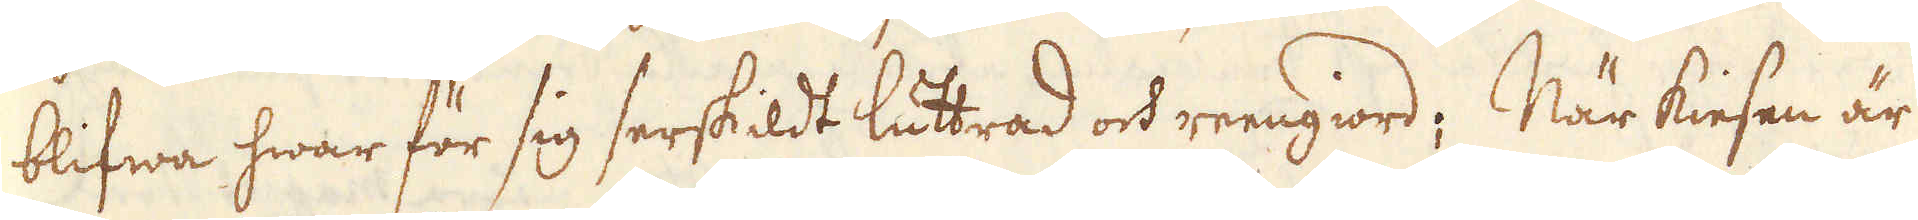blifwa hwar för sig serskildt luttrad och reengiord; När kiesen är
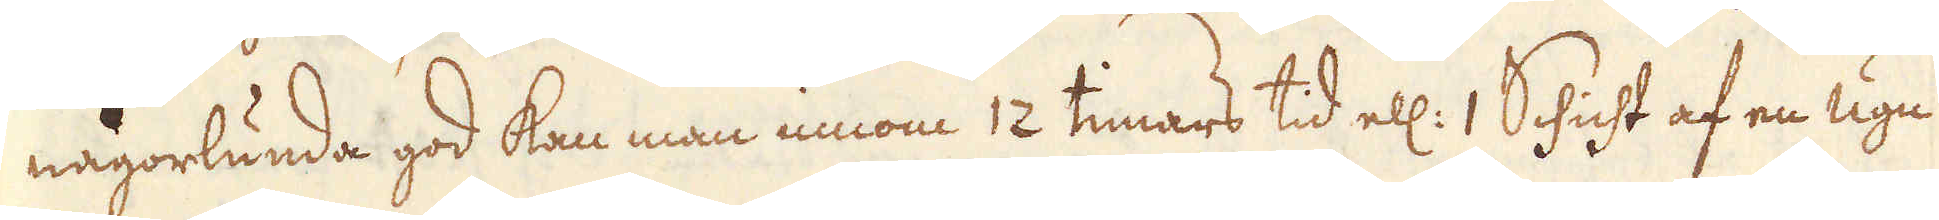någorlunda god kan man innom 12 timars tid ell: 1 Schicht af en ugn
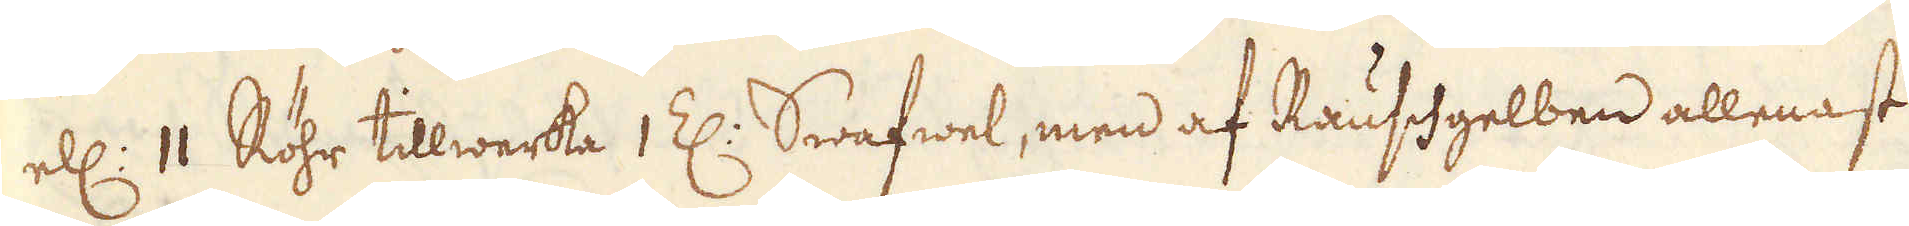ell: 11 Röhr tillwerka 1 Z: Swafwel, men af Rauschgelben allenast
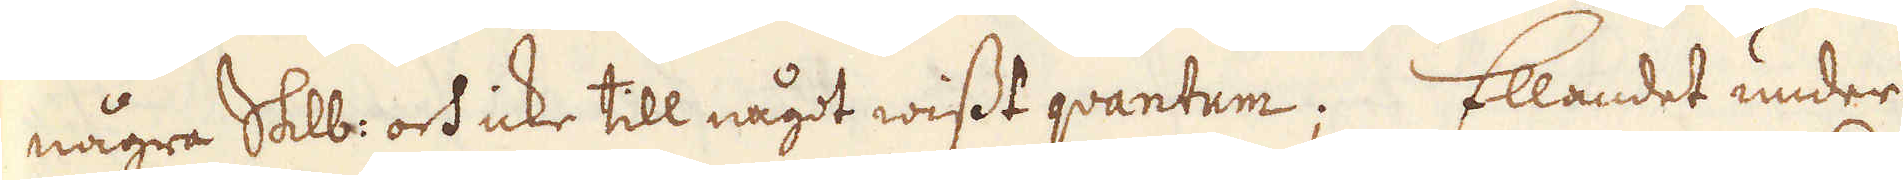några Skålpund och icke till något wisst quantum. Ellandet under
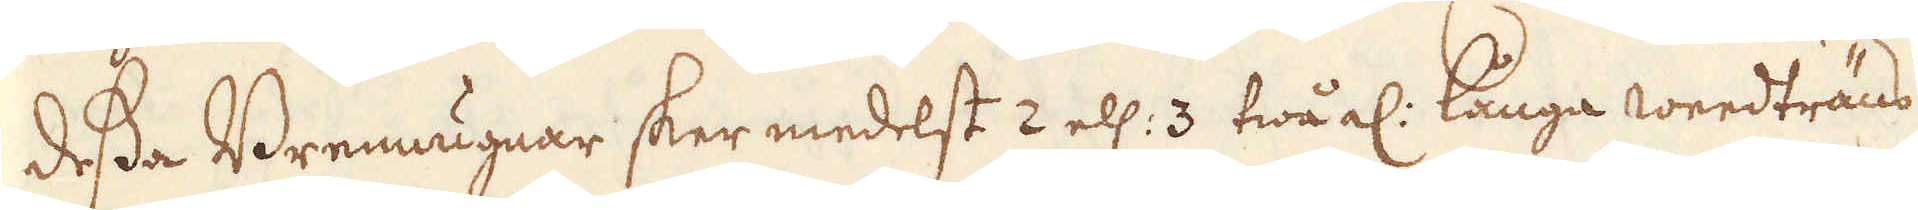dessa Brennugnar sker medelst 2 ell: 3 twå al: långa Weedträns
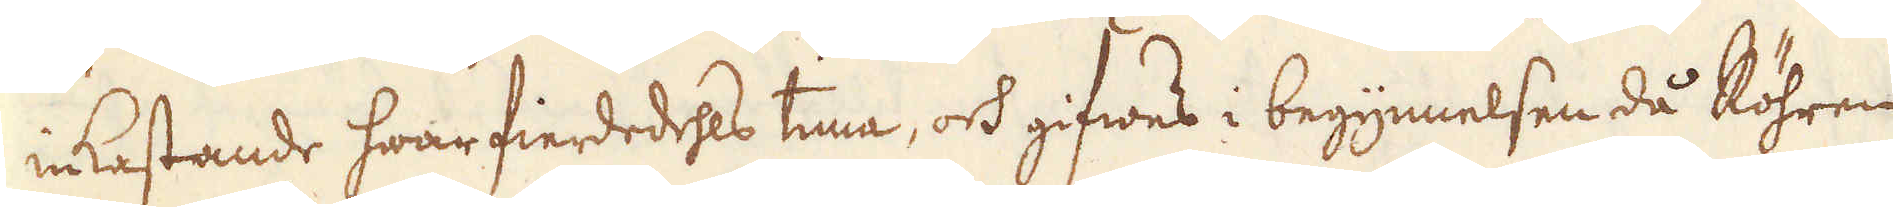inkastande hwar fierdedehls tima, och gifwes i begynnelsen då Röhren
